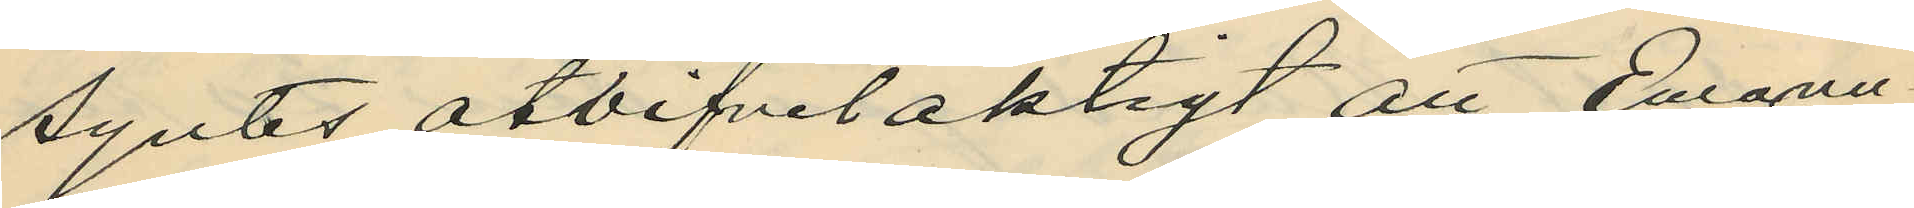syntes otvifvelaktigt att Emanu¬
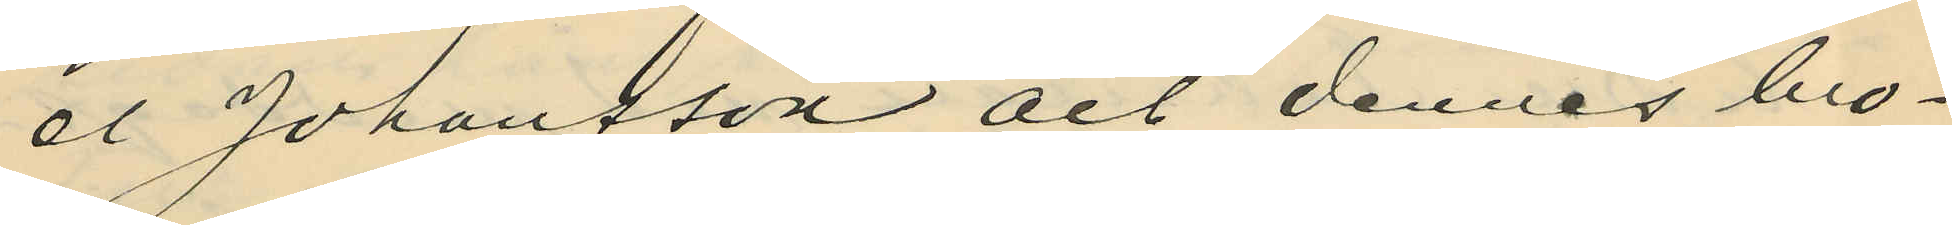el Johansson och dennes bro¬
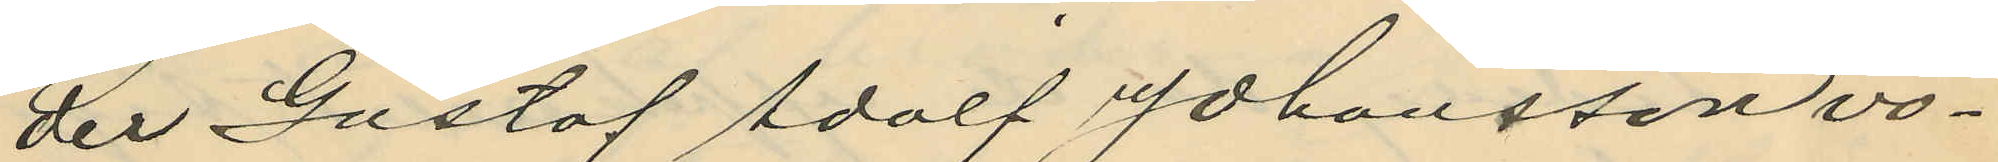der Gustaf Adolf Johansson vo¬
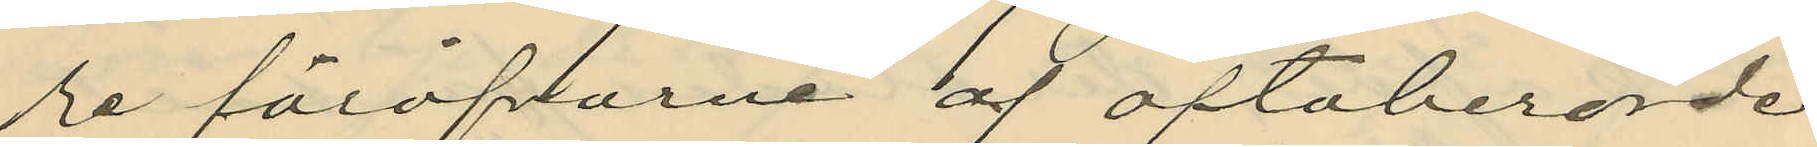re föröfvarne af oftaberörde
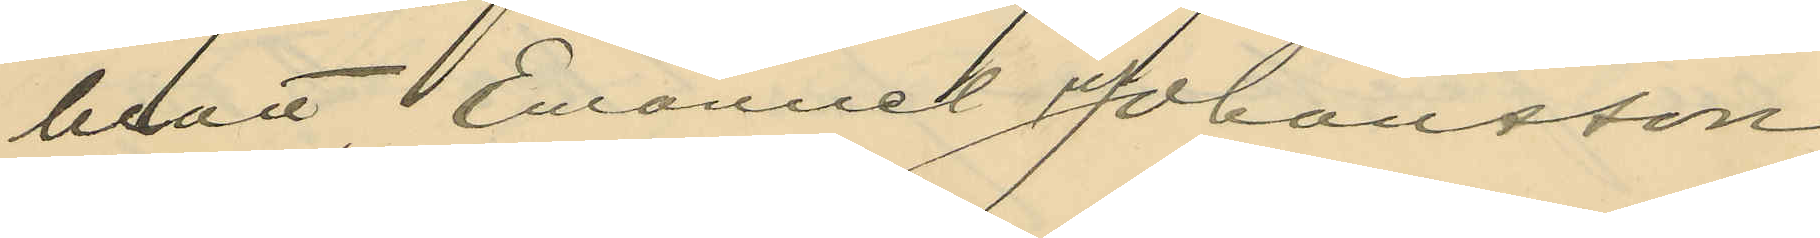brott, Emanuel Johansson
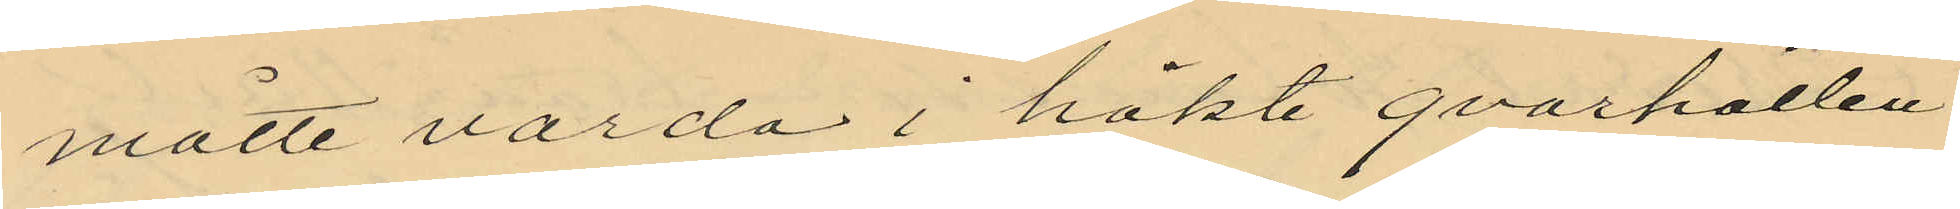måtte varda i häkte qvarhållen
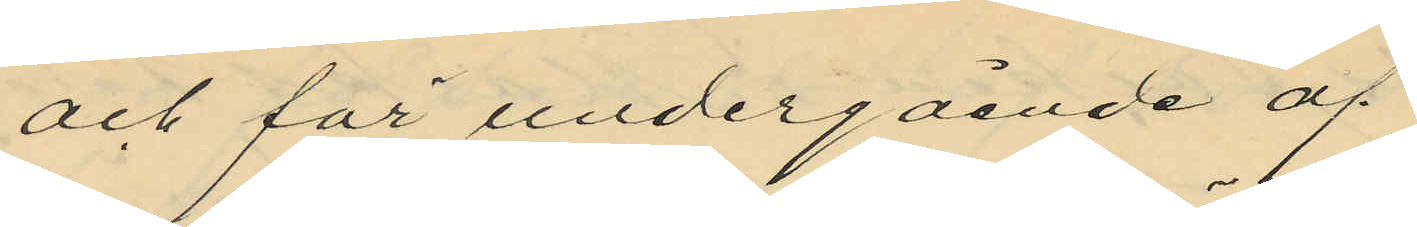och för undergående af
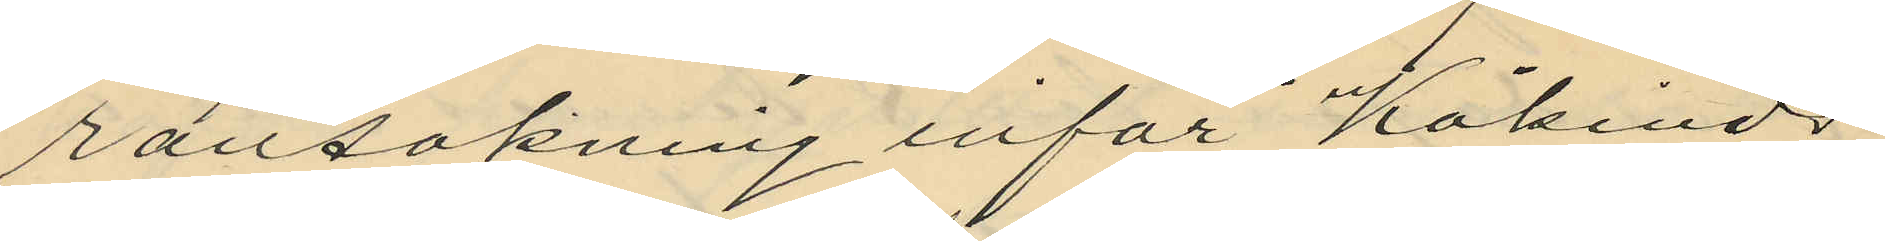ransakning inför Kåkinds
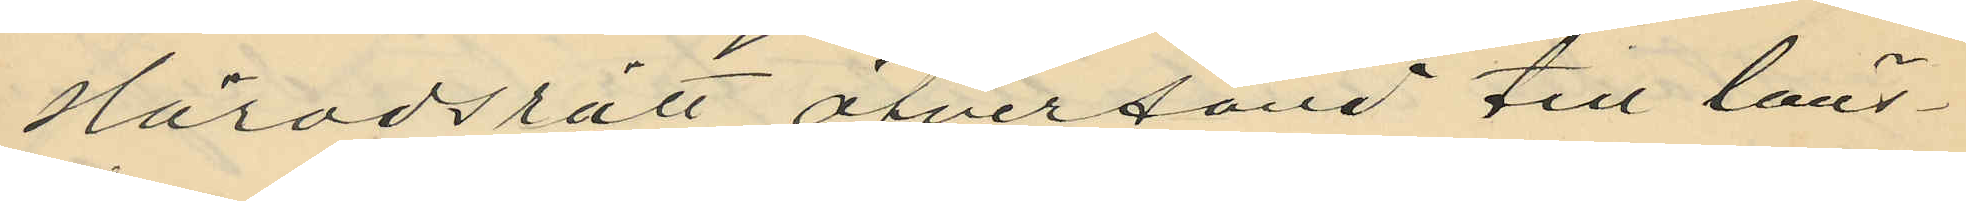Häradsrätt öfversänd till läns¬
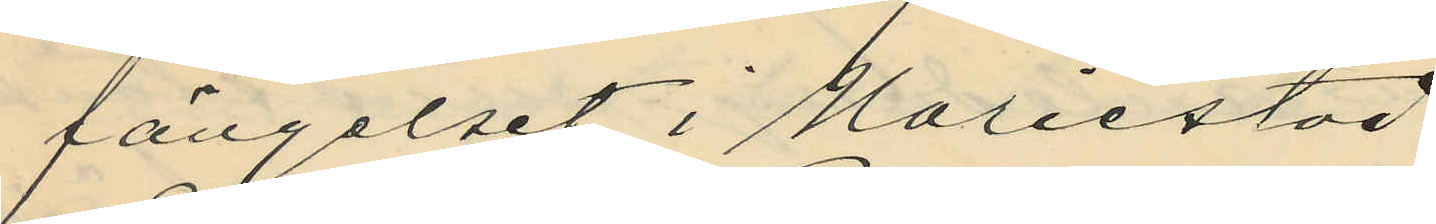fängelset i Mariestad.
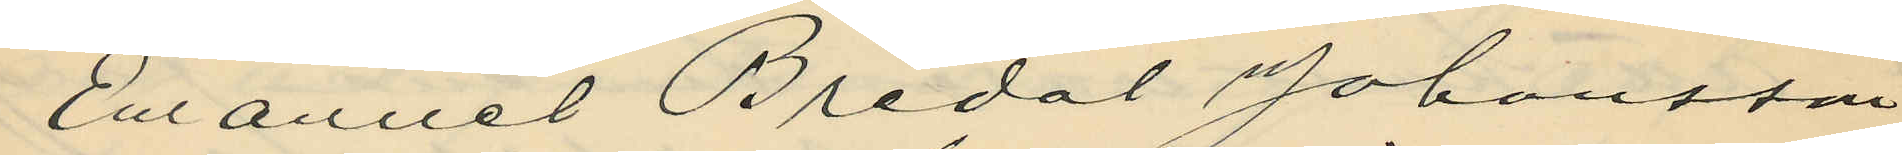Emanuel Bredal Johansson
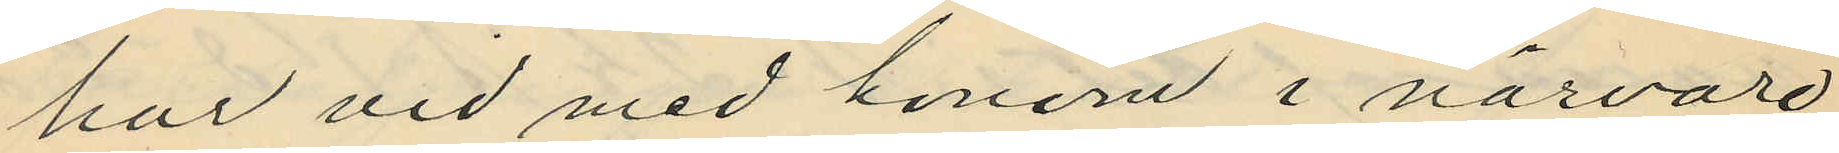har vid med honom i närvaro
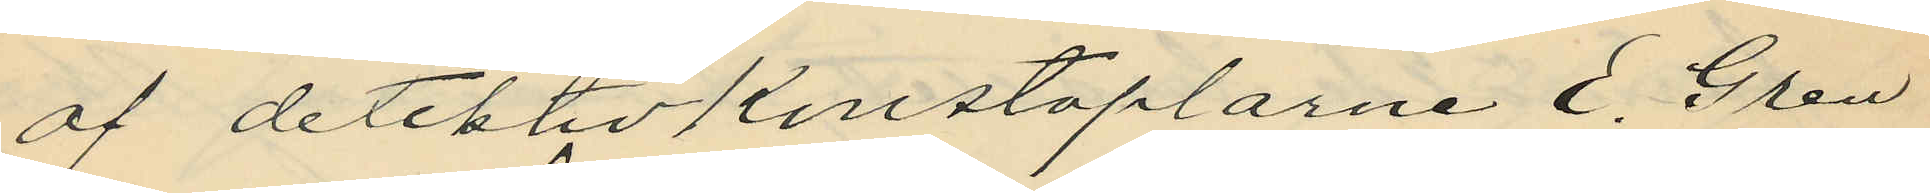af detektivkonstaplarne E. Gren
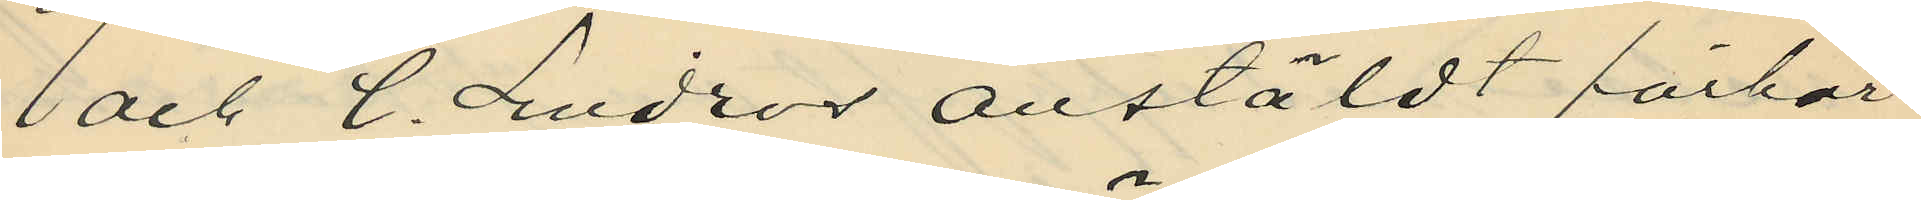och C. Lindros anstäldt förhör
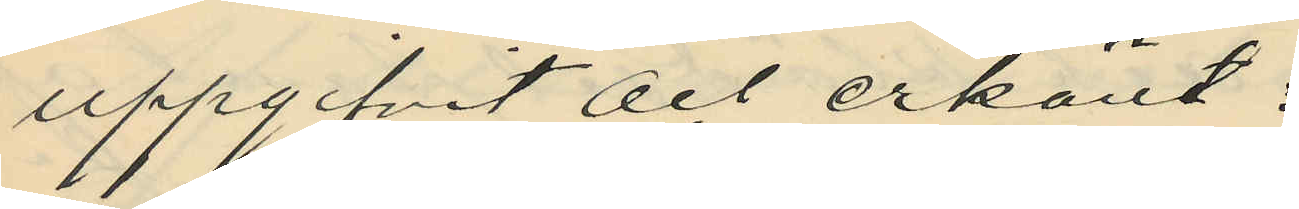uppgifvit och erkänt:
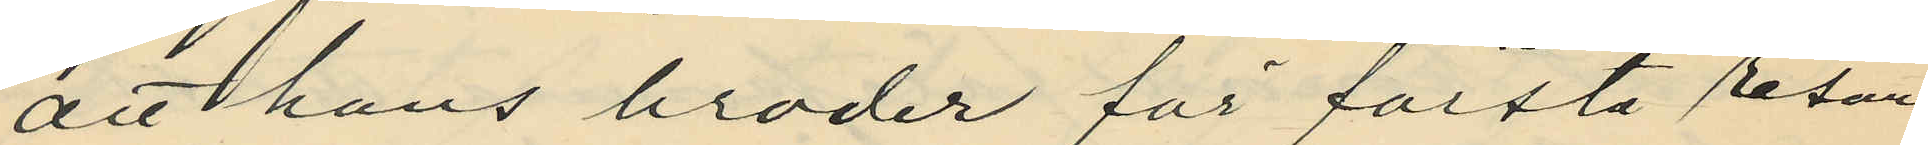att hans broder för första resan
